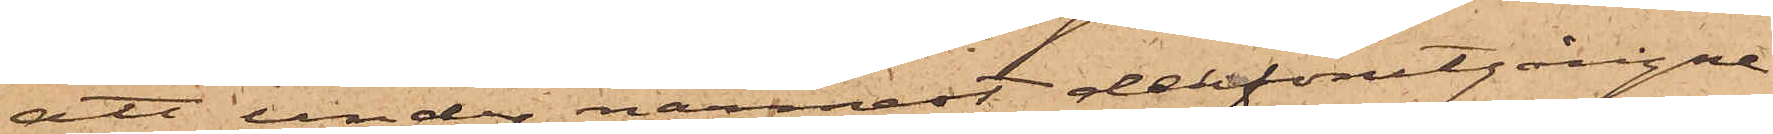att under närmast derförutgångne
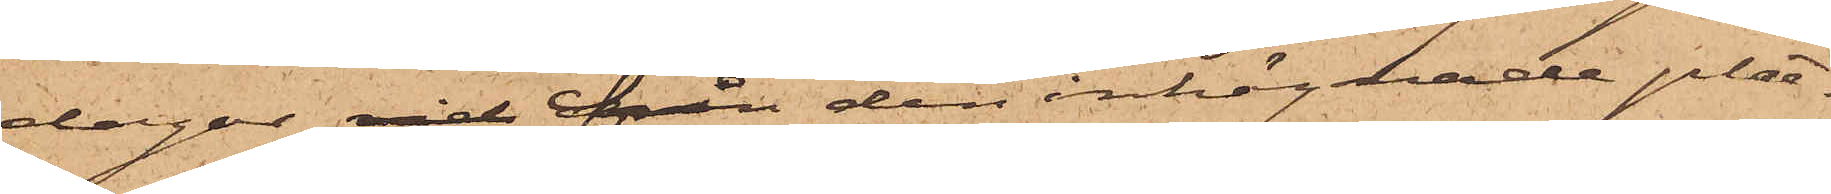dagar vid från den inhägnade plat¬
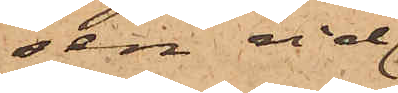sen vid
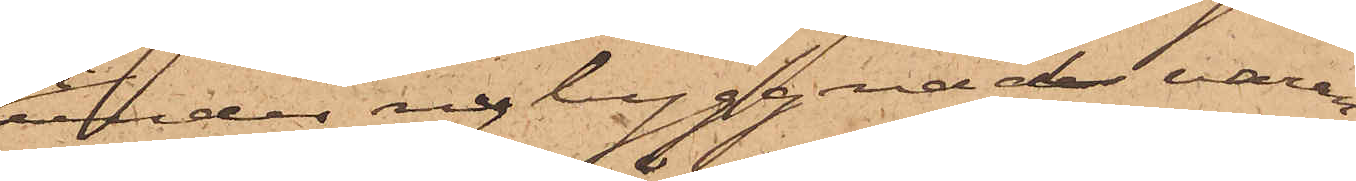under nybyggnad varan¬
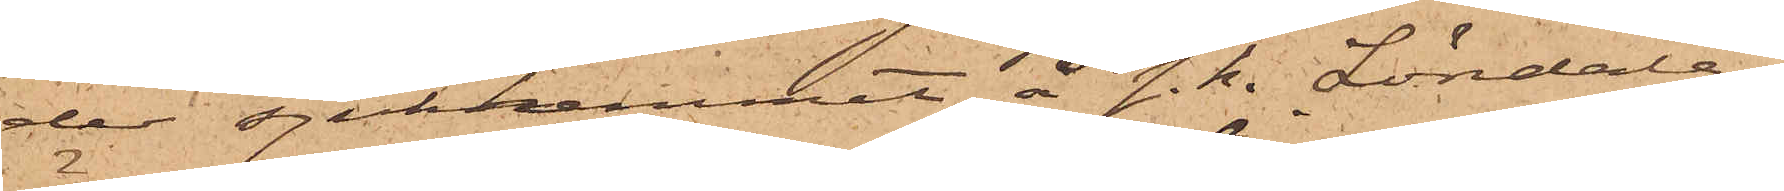de sjukhemmet å s. k. Löndala¬
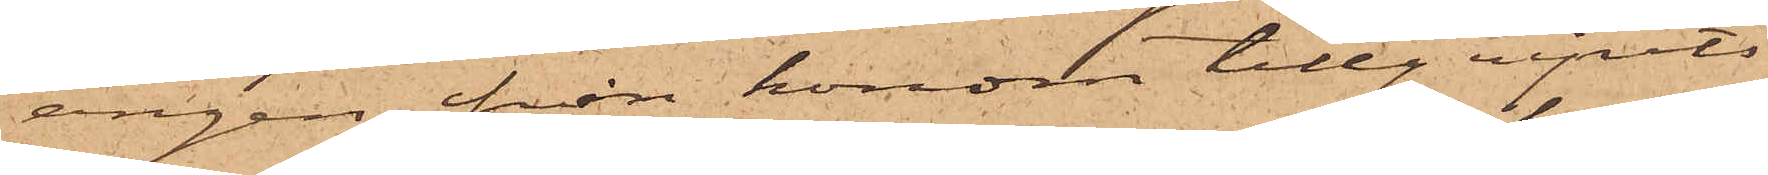ängen, från honom tillgripits
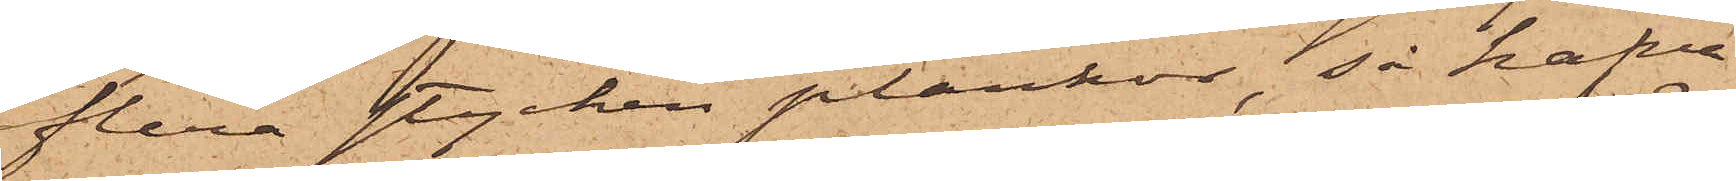flera stycken plankor, så hafva
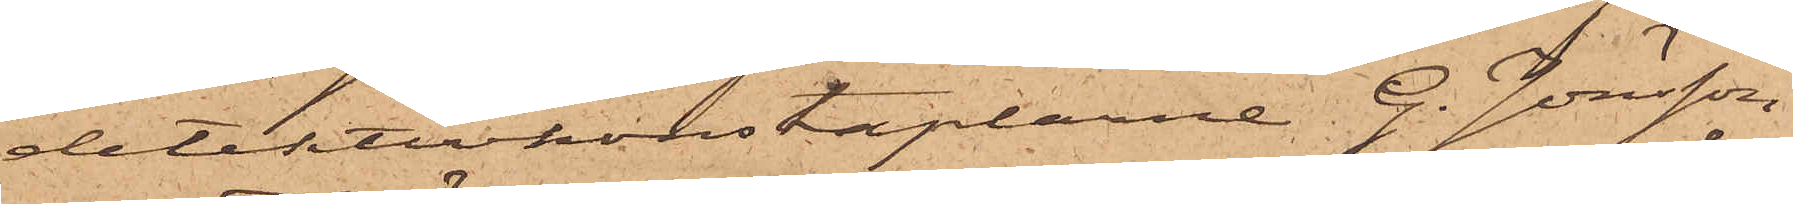detektivkonstaplarne G. Jönsson
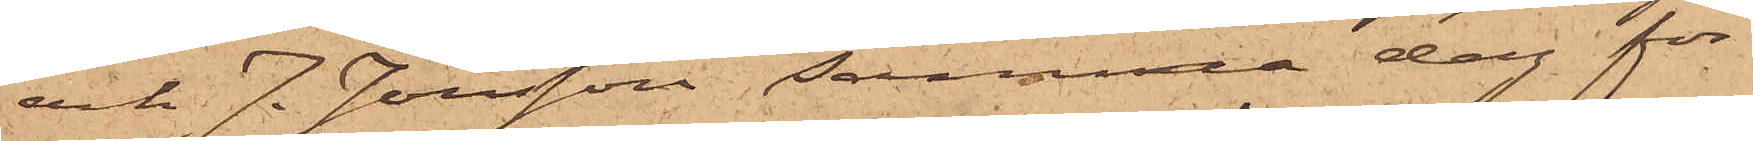och J. Jönsson samma dag för
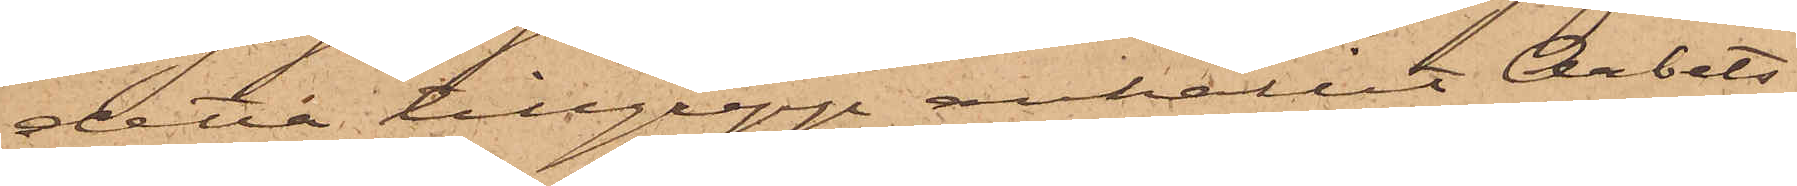detta tillgrepp anhållit Arbets¬
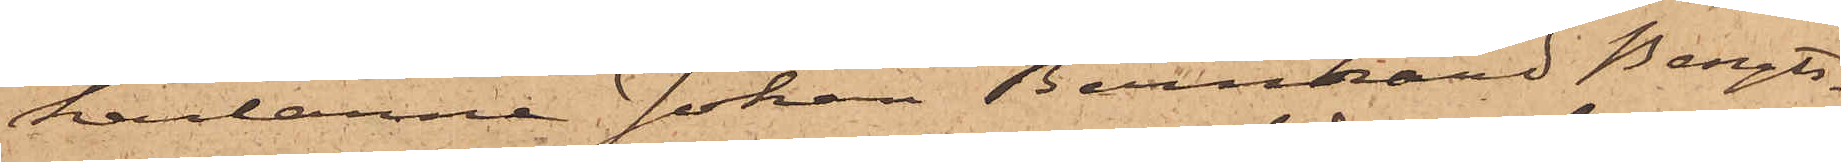karlarne Johan Bernhard Bengts¬
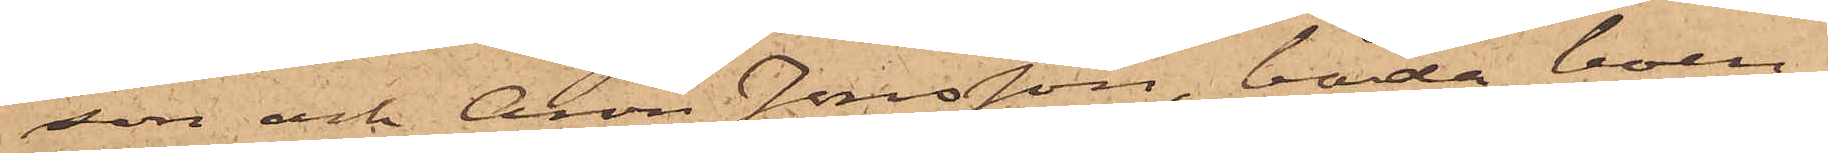son och Aron Jonsson, båda boen¬
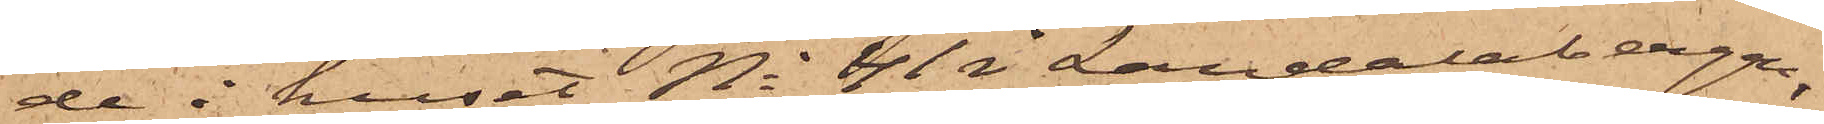de i huset No 41 i Landalabergen,
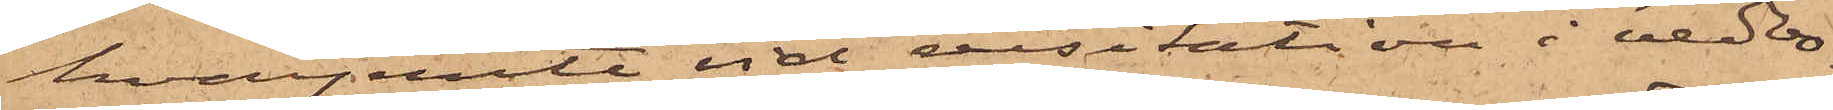hvarjemte vid visitation i vedbo¬
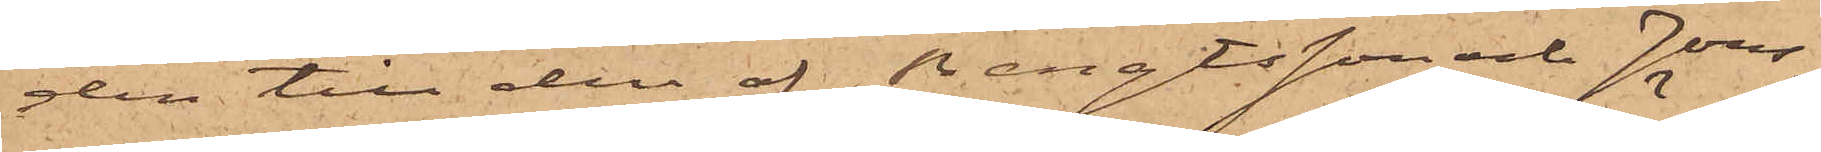den till den af Bengtsson och Jons¬
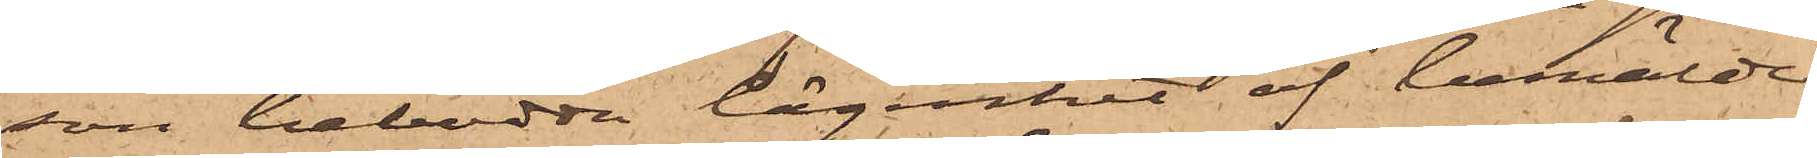son bebodda lägenhet af bemälde
